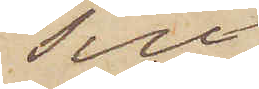Till
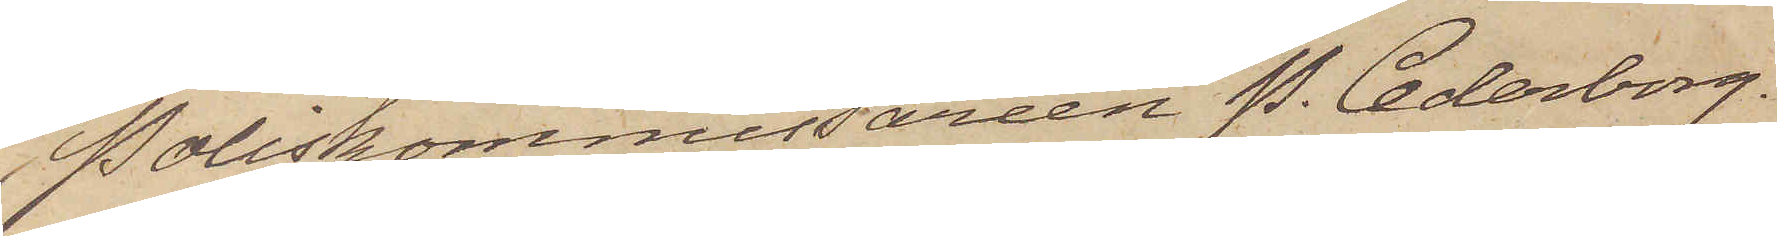Poliskommissarien P. Cederborg.
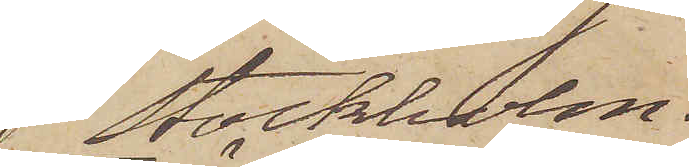Stockholm.
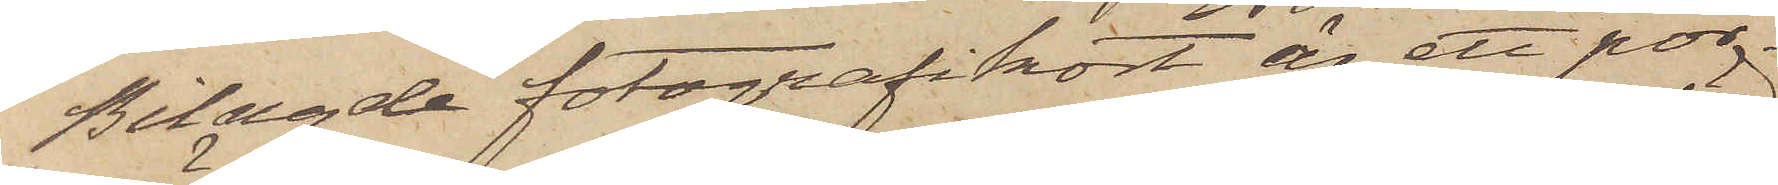Bilagde fotografikort är ett por¬
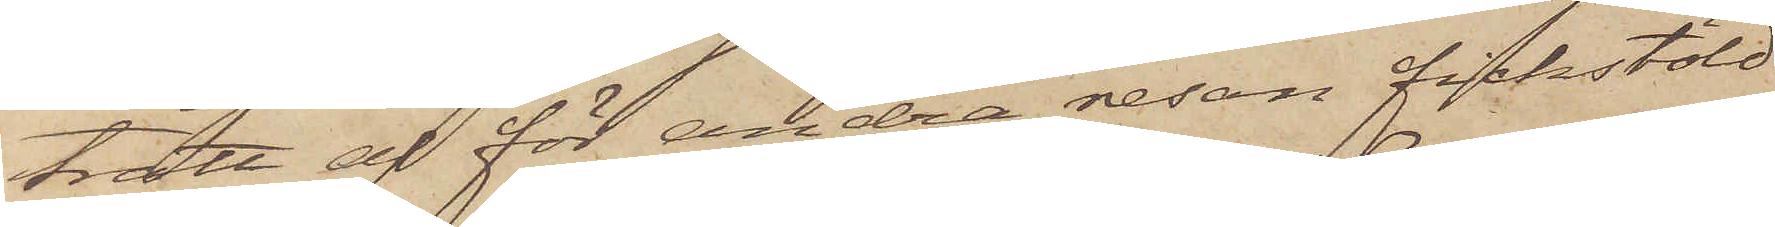trätt af för andra resan fickstöld
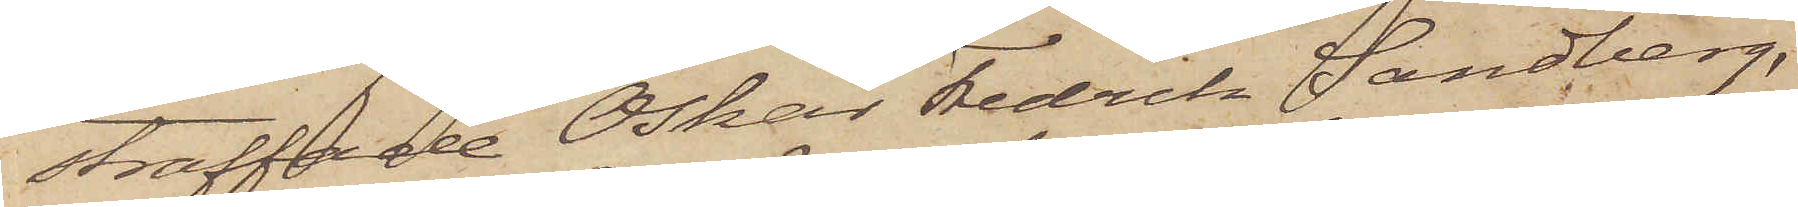straffade Oskar Fredrik Sandberg,
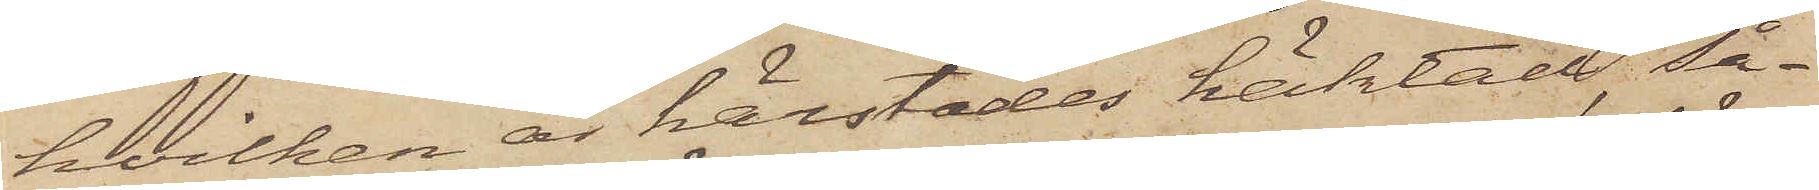hvilken är härstädes häktad, så¬
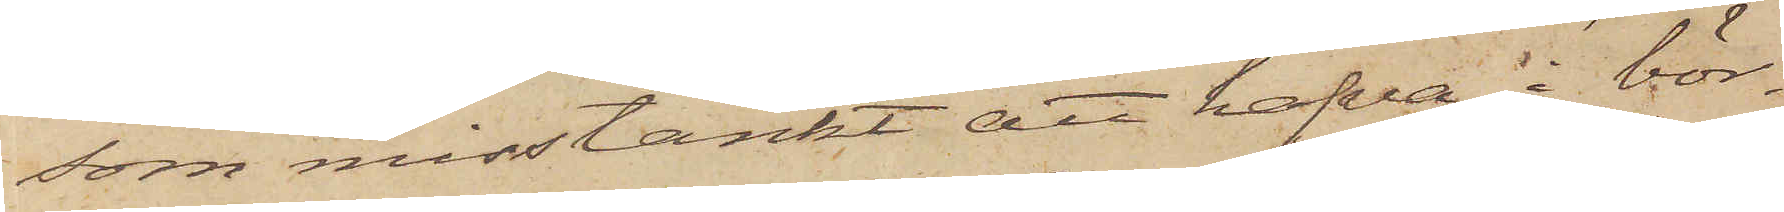som misstänkt att hafva i bör¬
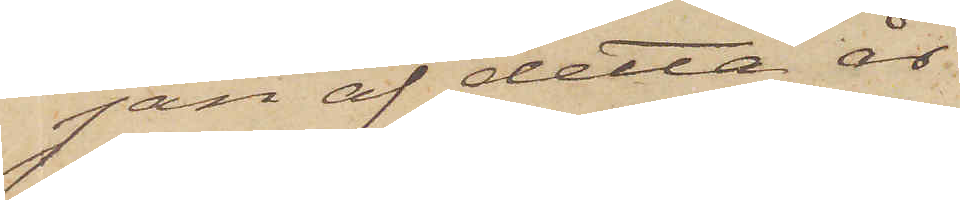jan af detta år
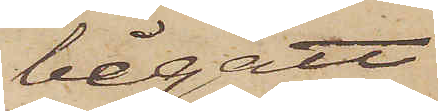begått
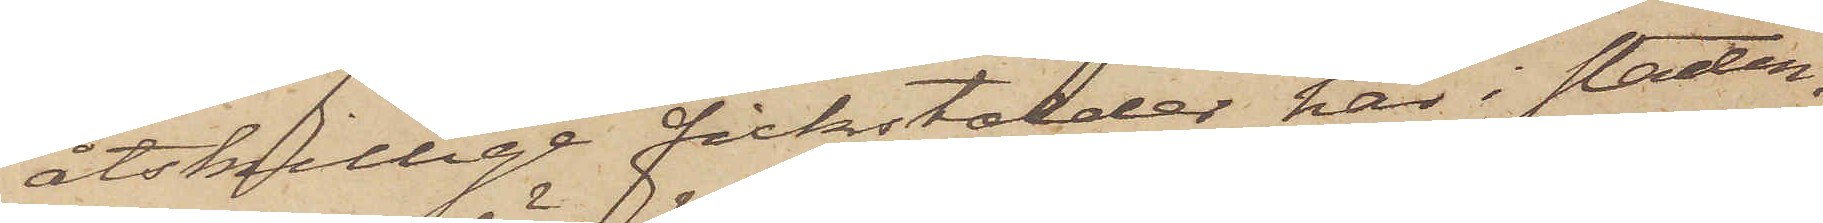åtskillige fickstölder här i staden.
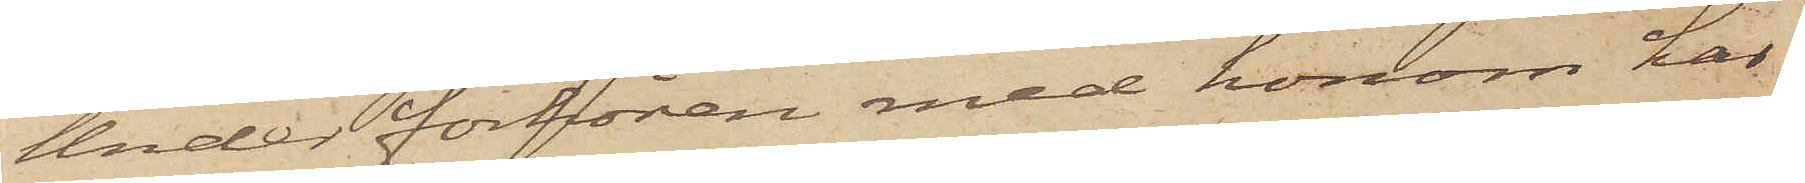Under förhören med honom har
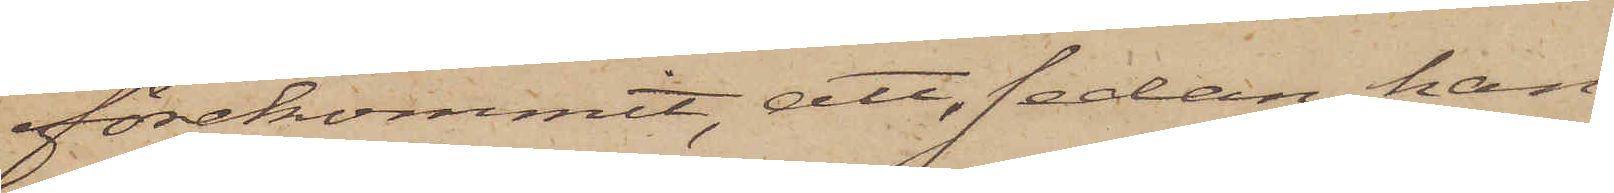förekommit, att, sedan han
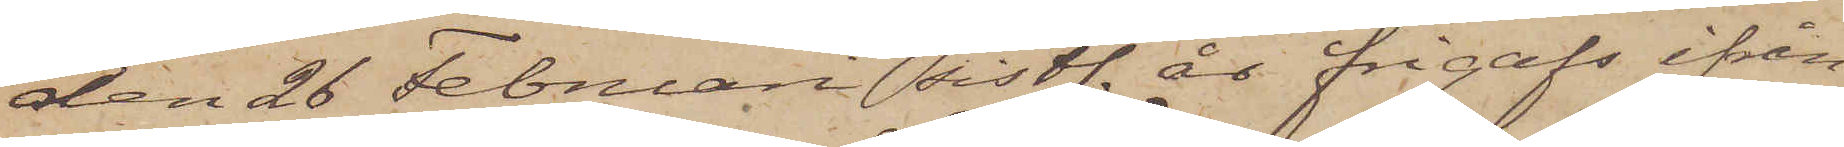den 26 Februari sistl. ås frigafs ifrån
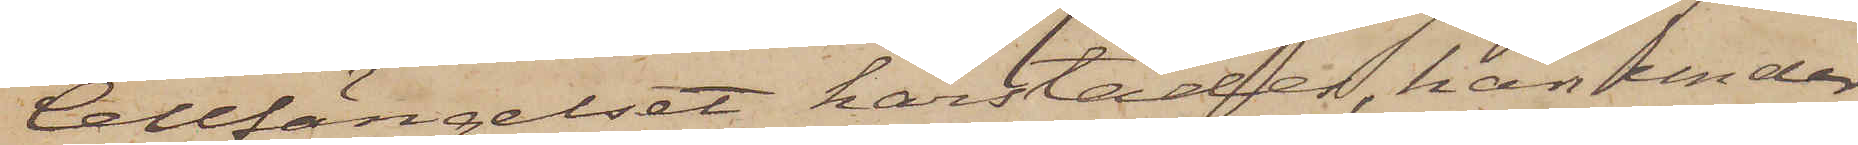Cellfängelset härstädes, han under
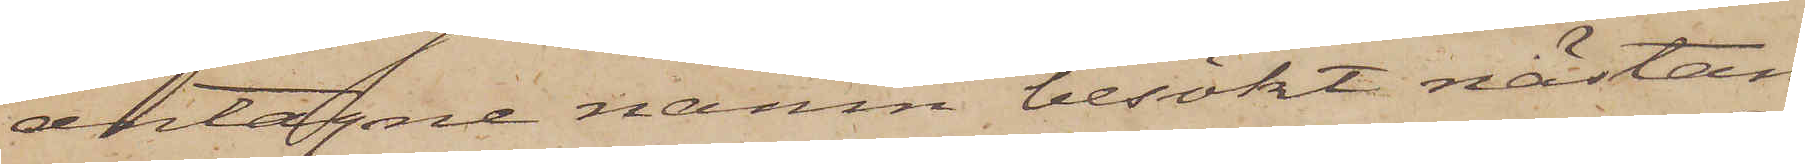antagne namn besökt nästan
